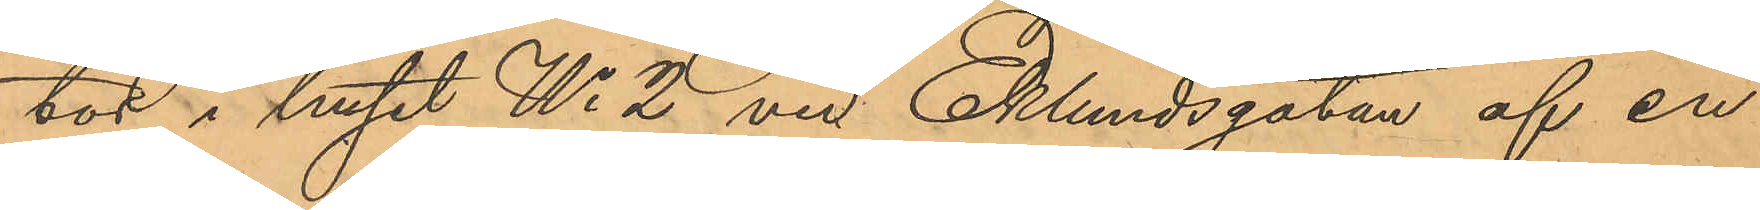tor i huset No 2 vid Eklundsgatan af en
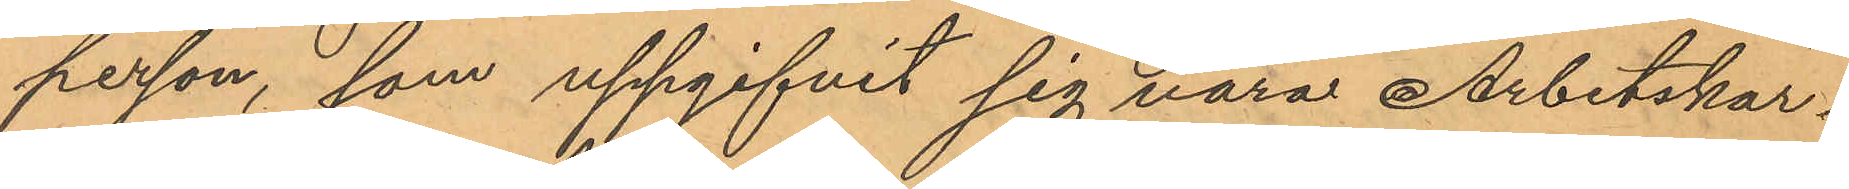person, som uppgifvit sig vara Arbetskar¬
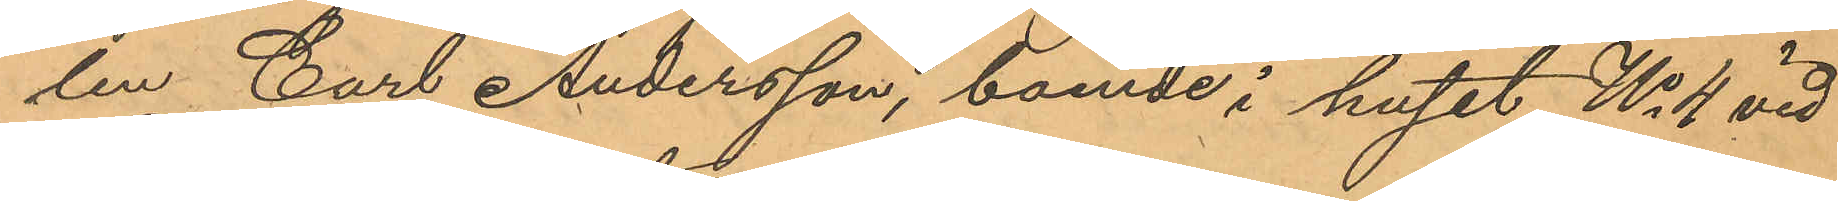len Carl Andersson, boende i huset No 4 vid
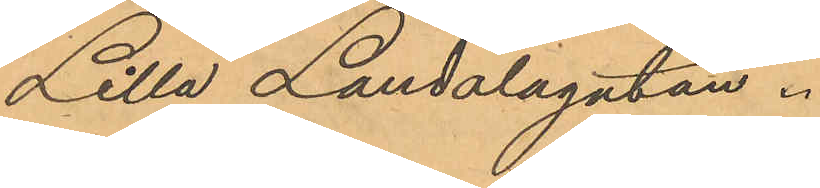Lilla Landalagatan.
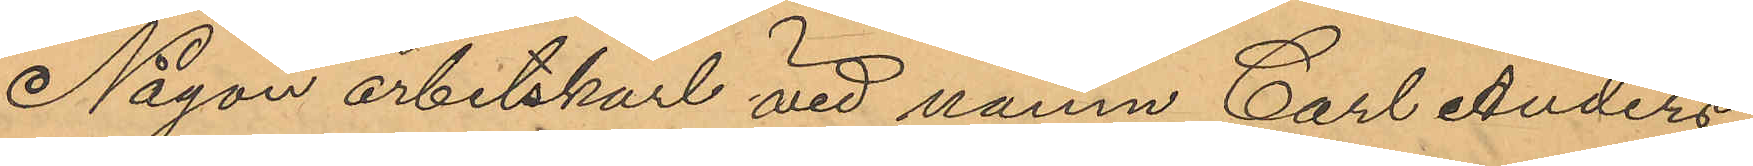Någon arbetskarl vid namn Carl Anders¬
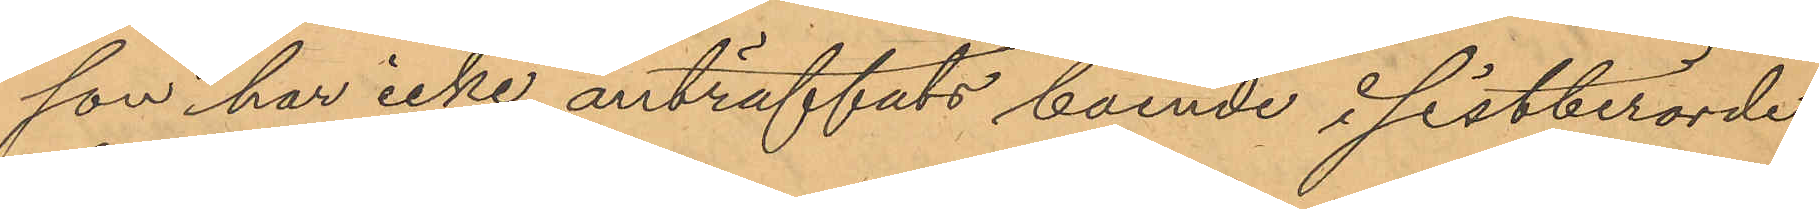son har icke anträffats boende i sistberörde
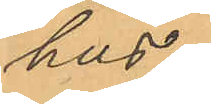hus.
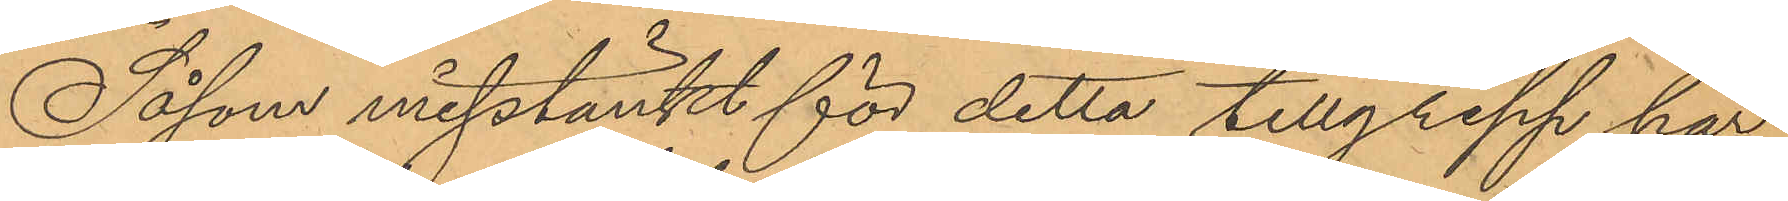Såsom misstänkt för detta tillgrepp har
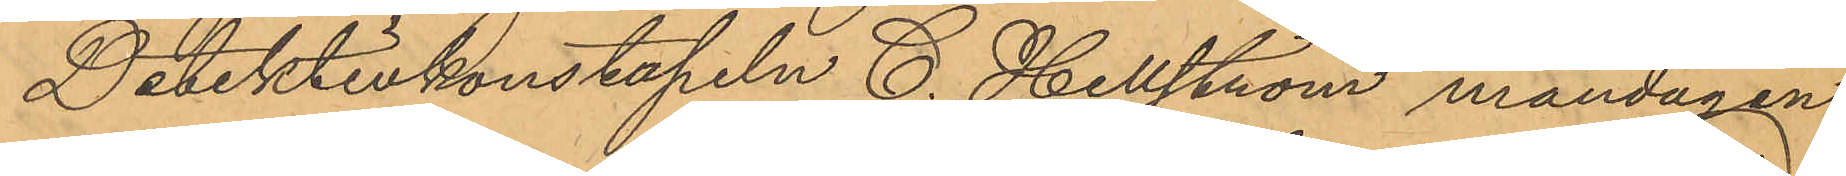Detektivkonstapeln C. Hellström måndagen
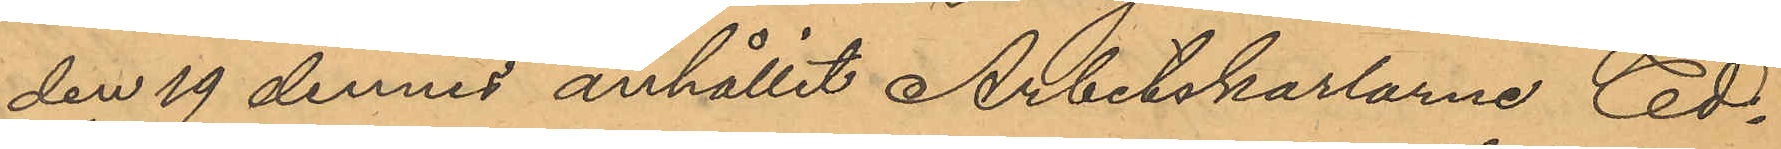den 19 dennes anhållit Arbetskarlarne Ed¬
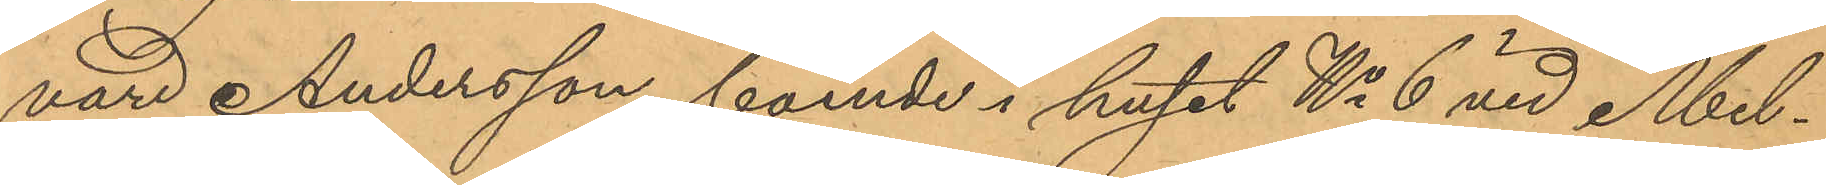vard Andersson, boende i huset No 6 vid Mel¬
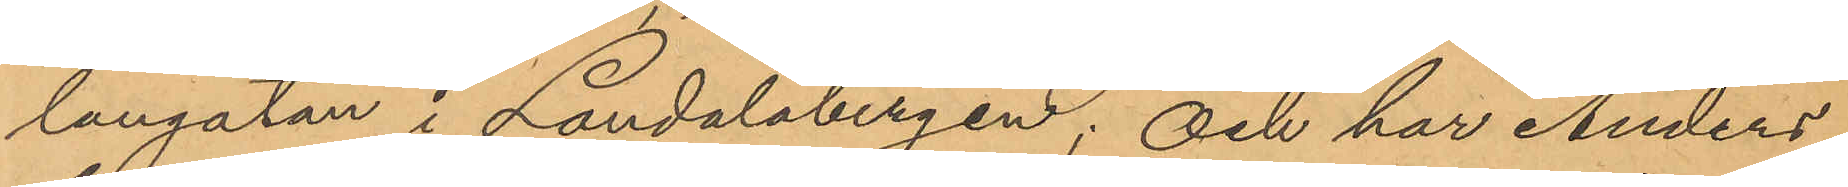langatan i Landalabergen; och har Anders¬
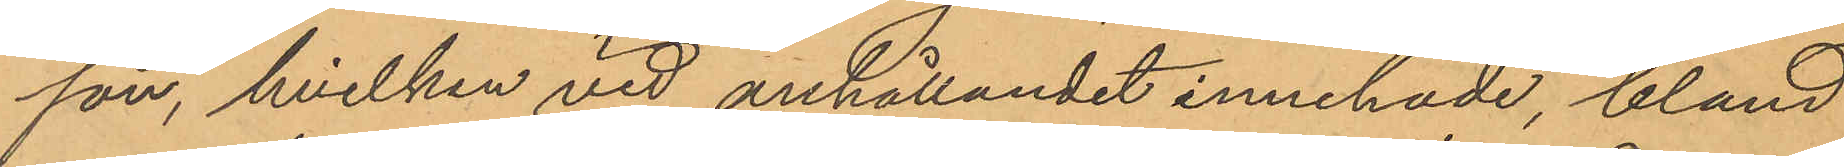son, hvilken vid anhållandet innehade, bland
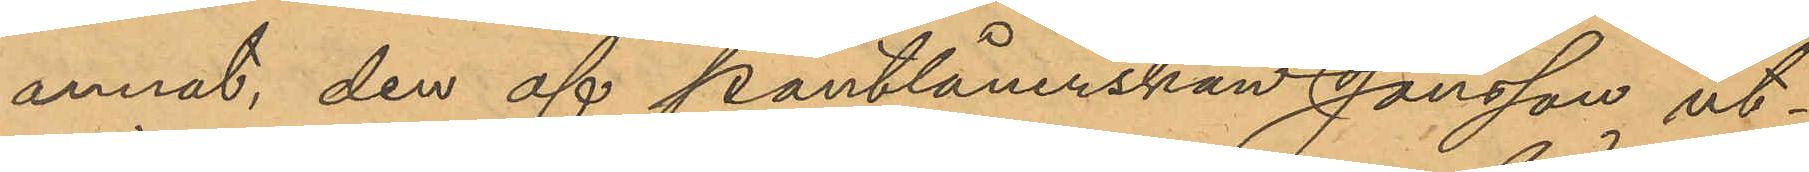annat, den af pantlånerskan Jonsson ut¬
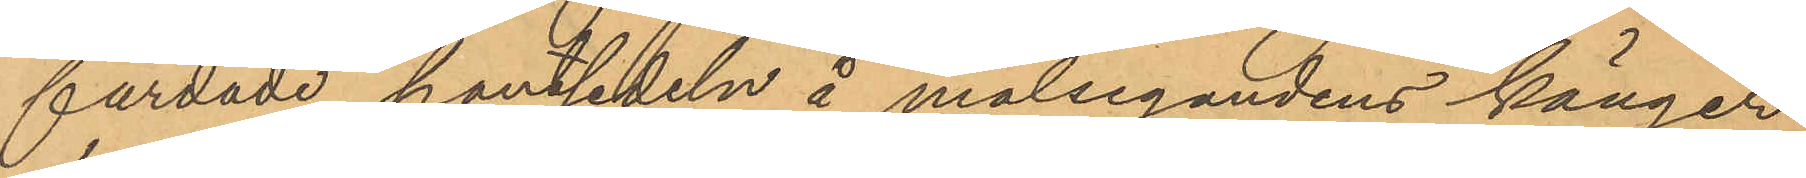färdade pantsedeln å målsegandens känger,
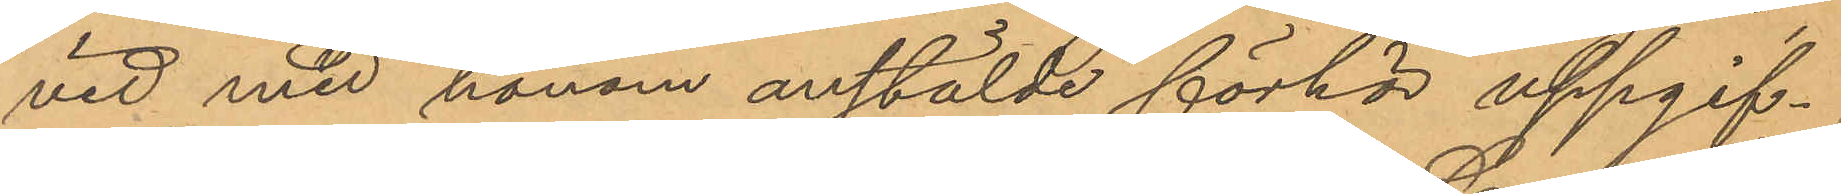vid med honom anstälde förhör uppgif¬
